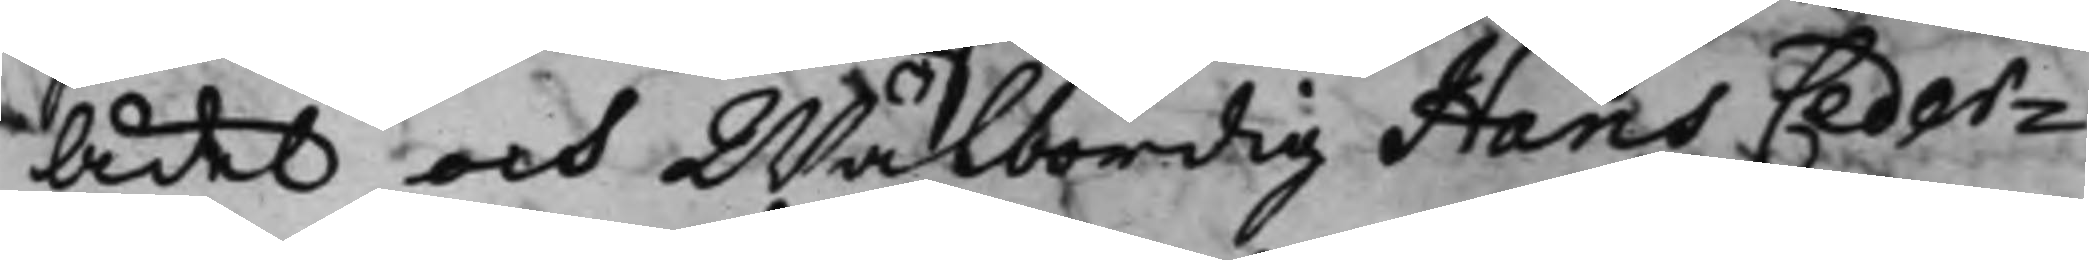 Ädel och Wälbördig Hans Ceder¬
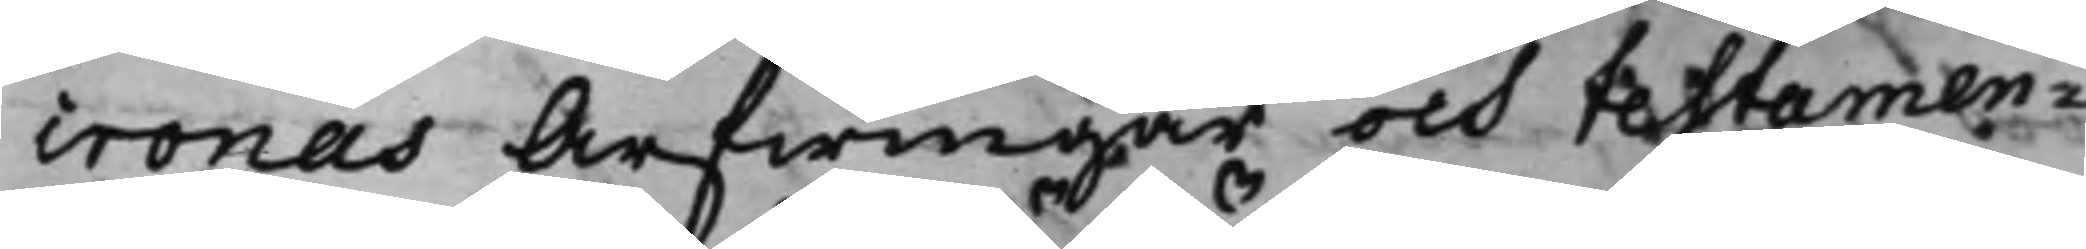cronas Arfwingar och testamen¬
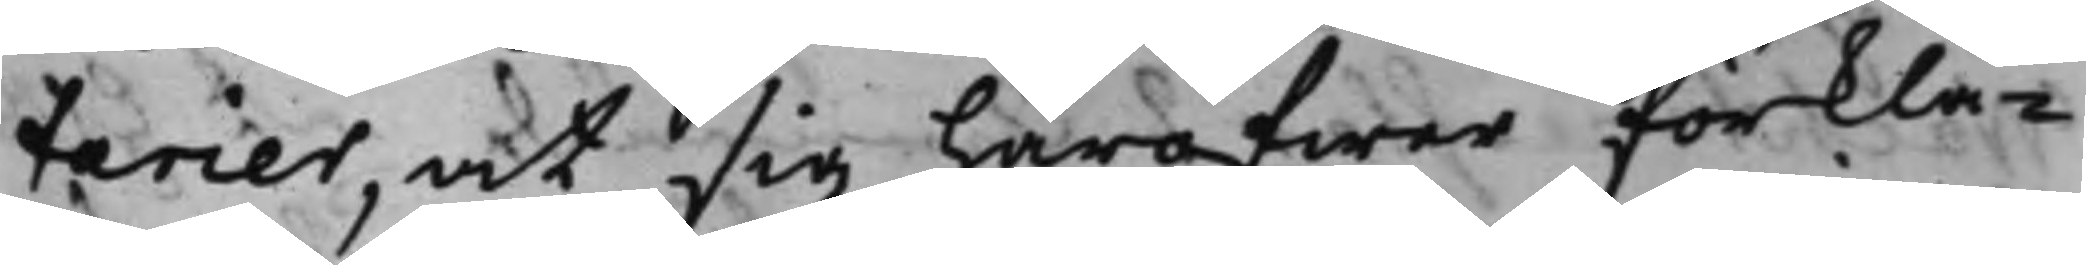tarier, at sig häröfwer förkla¬
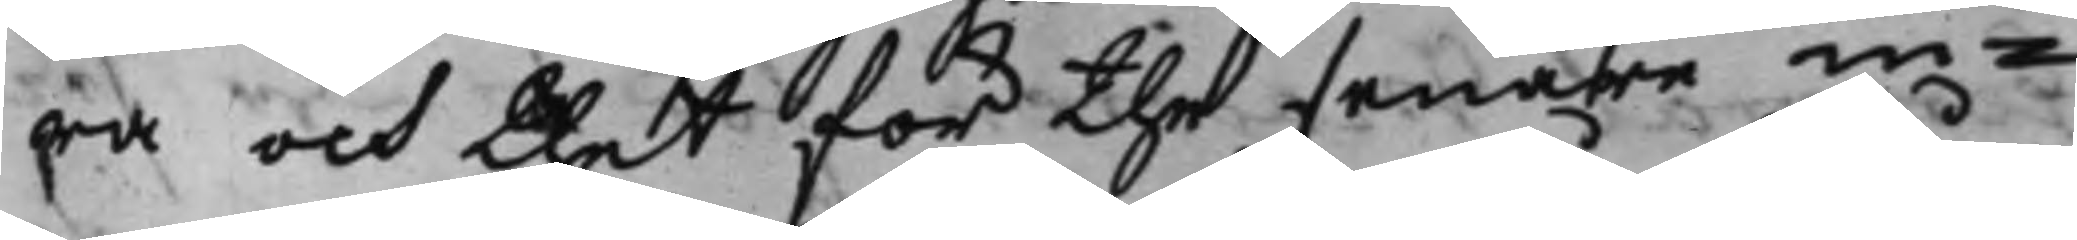ra och thet för the senare in¬
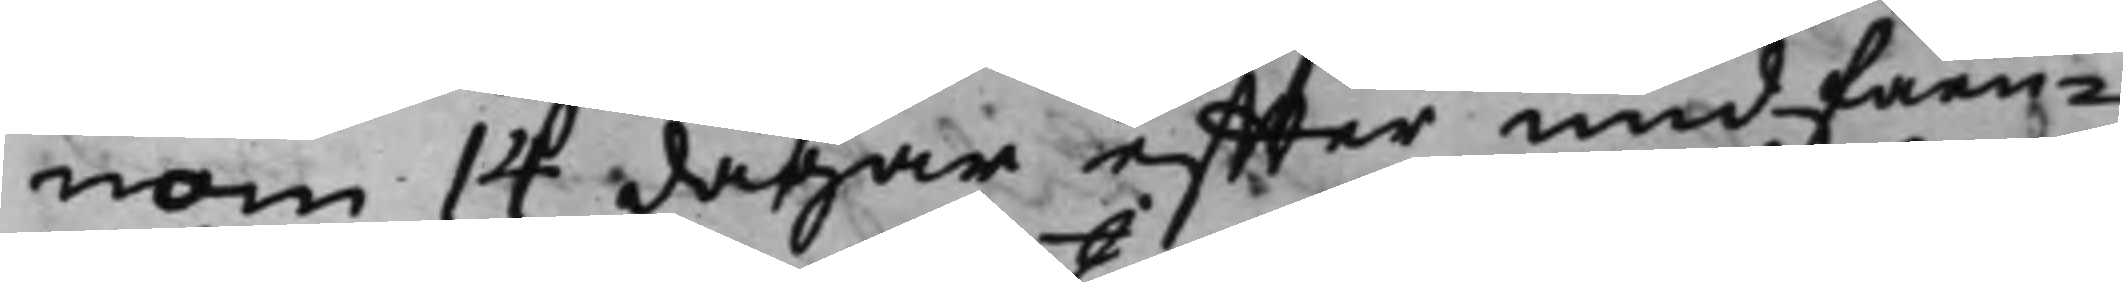nom 14 dagar effter undfåen¬
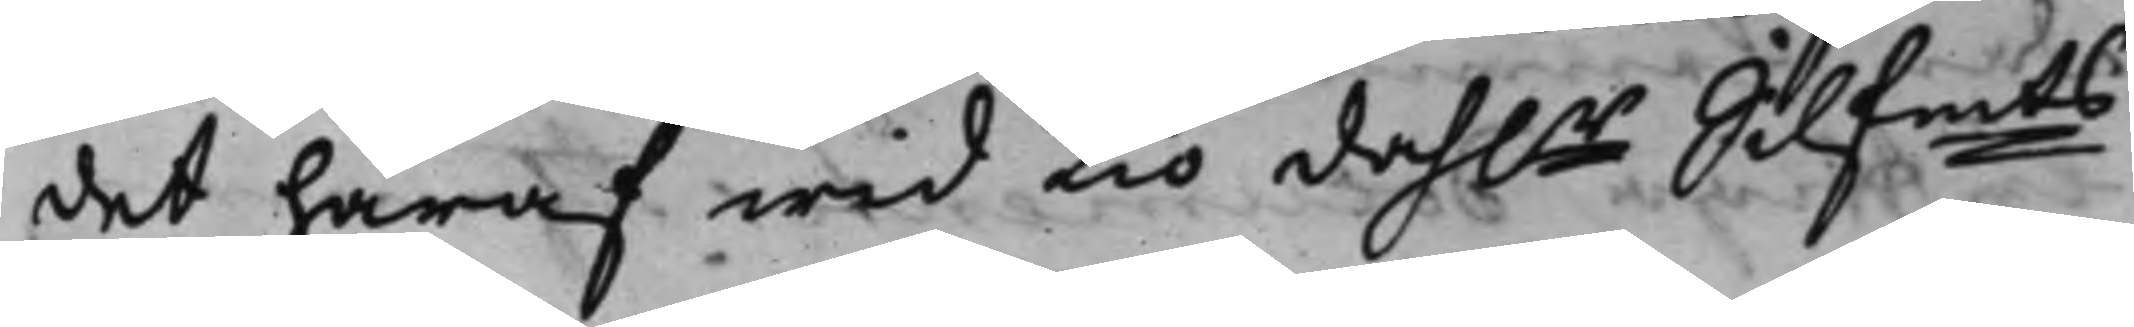det häraf wid tio dah.r Silfmts
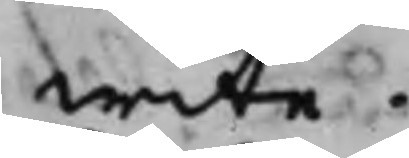wite.
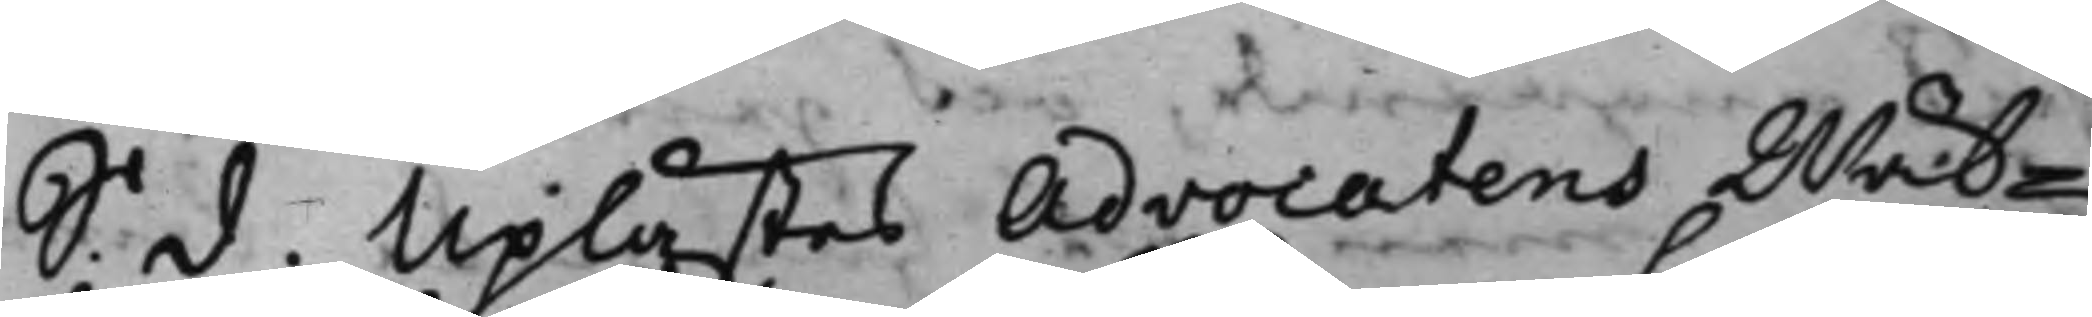S. d. Uplästes Advocatens Wäl¬
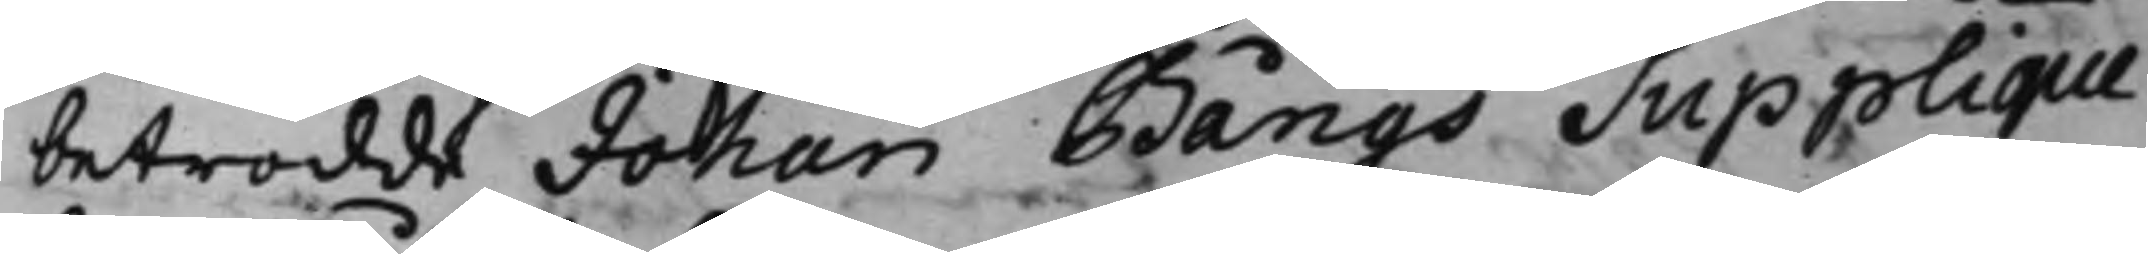betrodde Johan Bångs Supplique
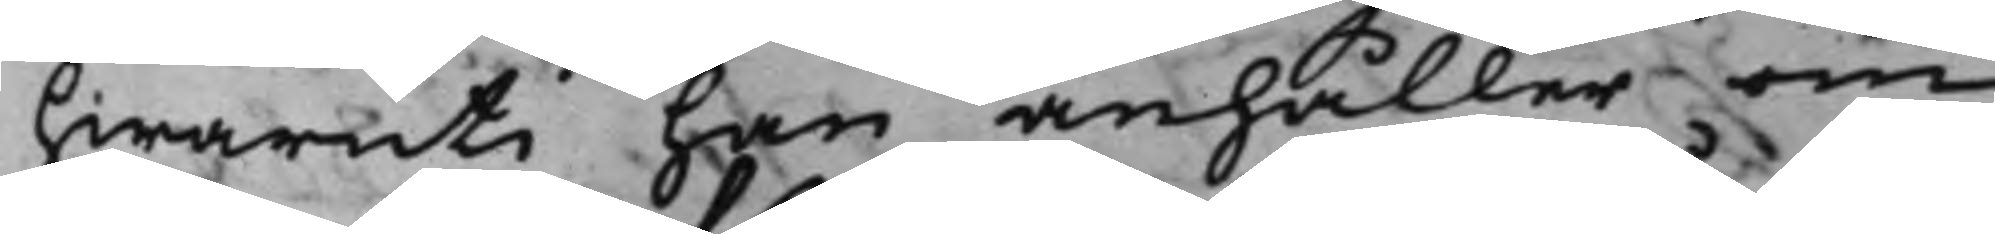hwaruti han anhåller om
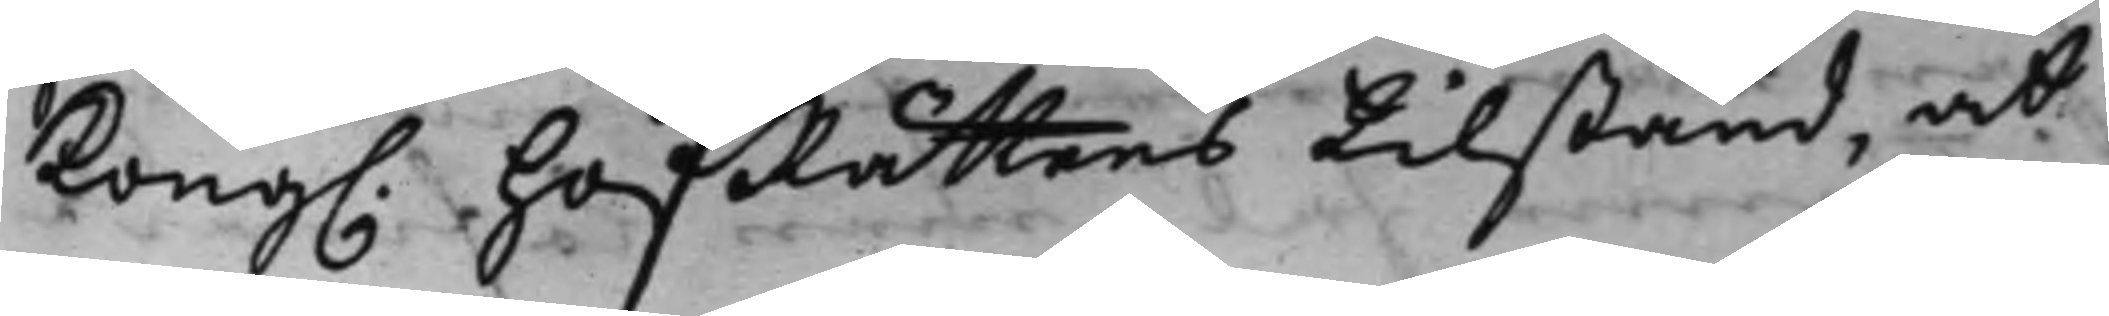Kong. HofRättens tillstånd, at
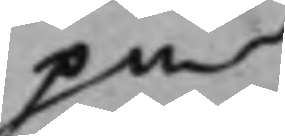på
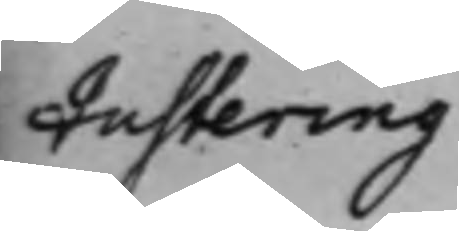Justering
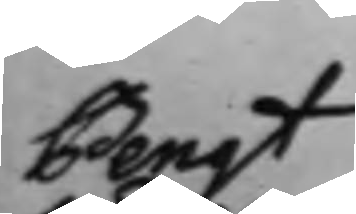Bengt
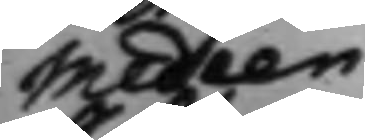Medeen
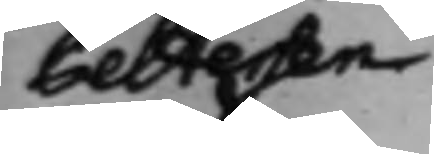Pettersen
